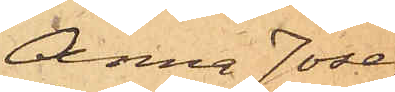Anna Jose¬
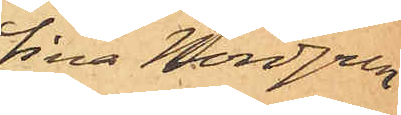fina Nordgren
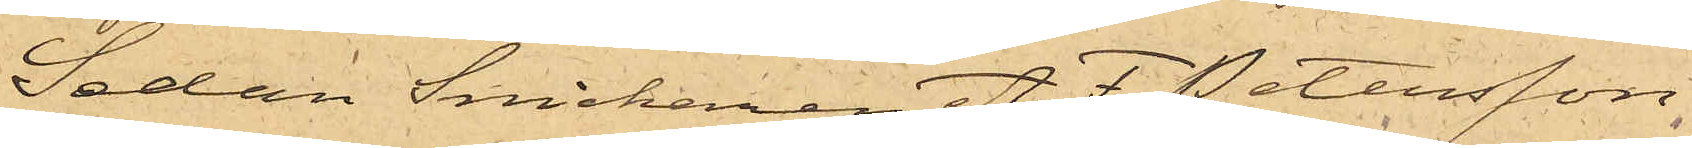Sedan Snickaren A. F. Petersson,
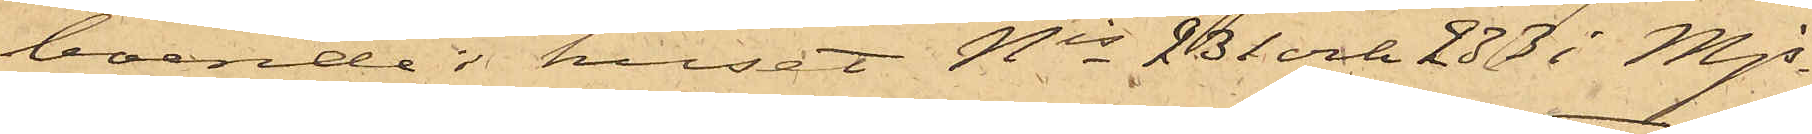boende i huset Nis 231 och 233 i Mjs
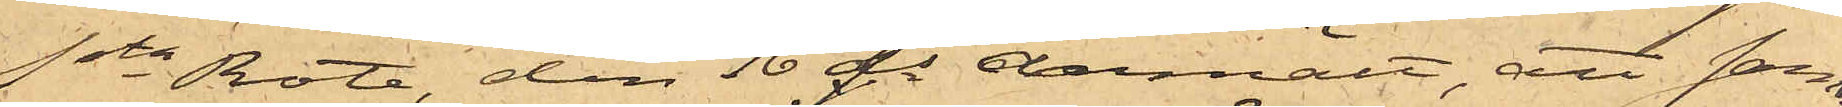1sta Rote, den 16 ds anmält att sam¬
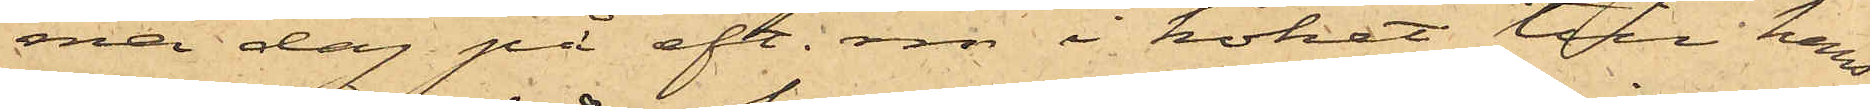ma dag på eft. m. i köket till hans
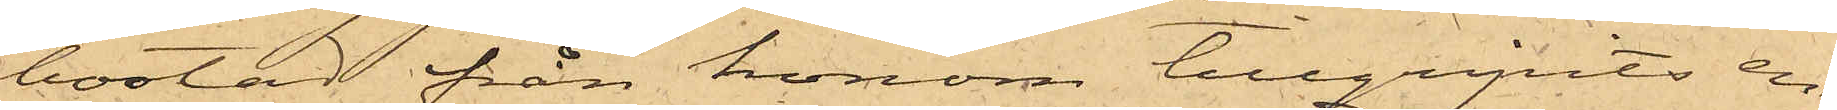bostad från honom tillgripits en
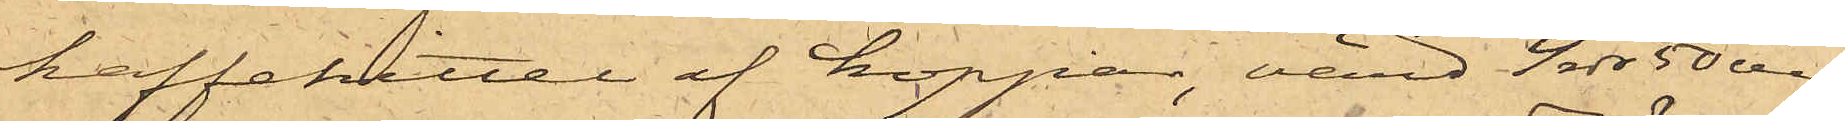kaffekittel af koppar, värd 4 rdr 50 öre,
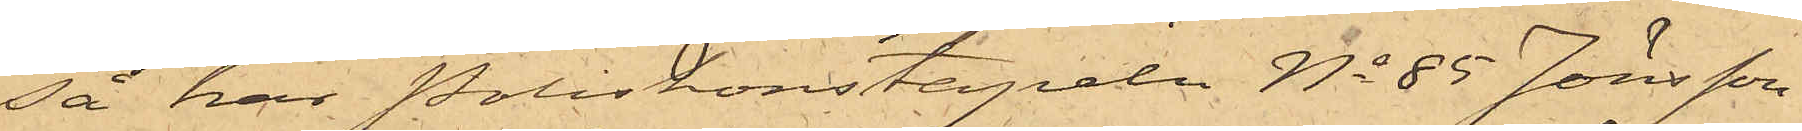så har Poliskonstapeln No 85 Jönsson
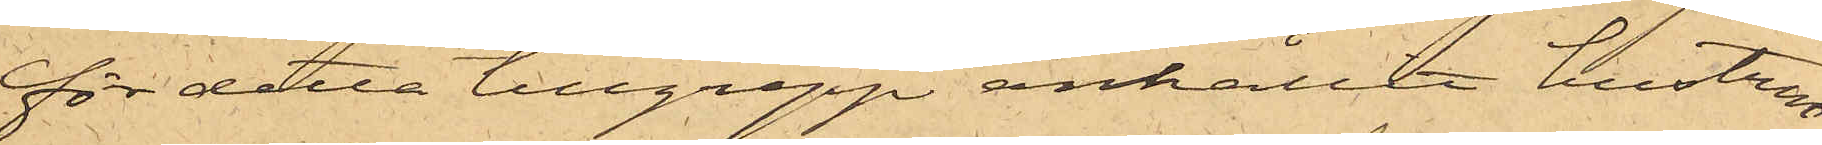för detta tillgrepp anhållit hustru
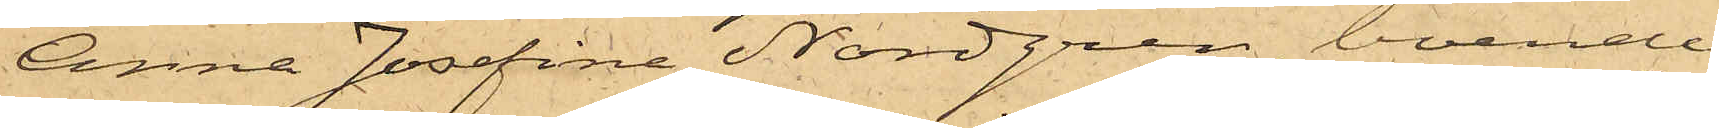Anna Josefina Nordgren, boende
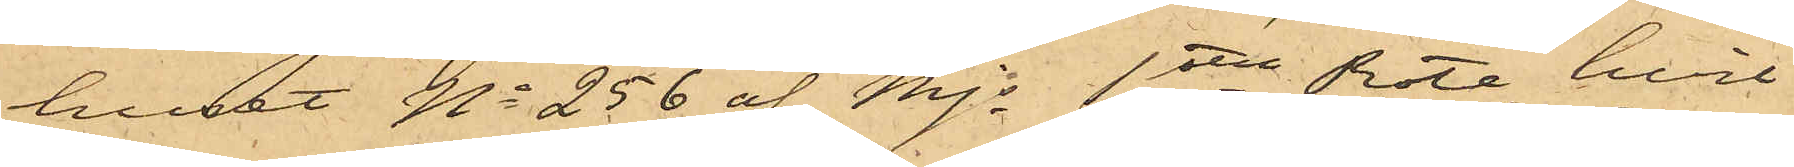huset No 256 af Mjs 1sta Rote, hvil¬
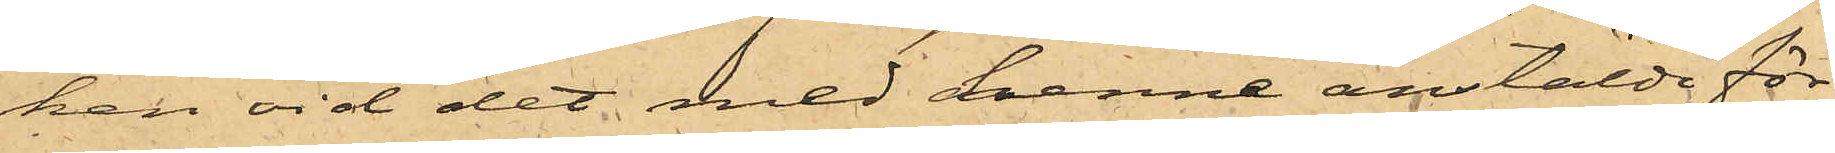ken vid det med henne anstälde för¬
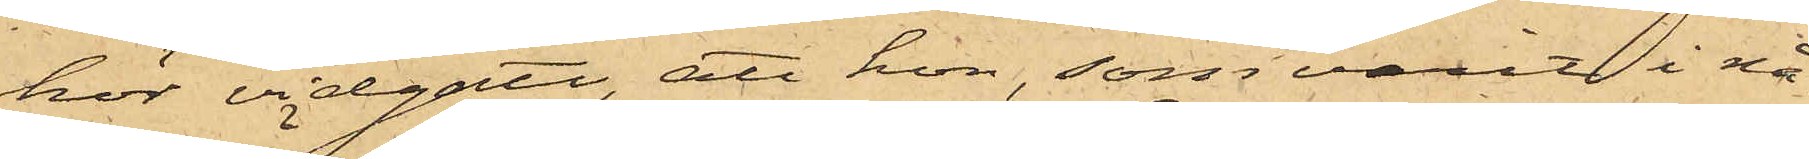hör vidgått, att hon, som varit i nå¬
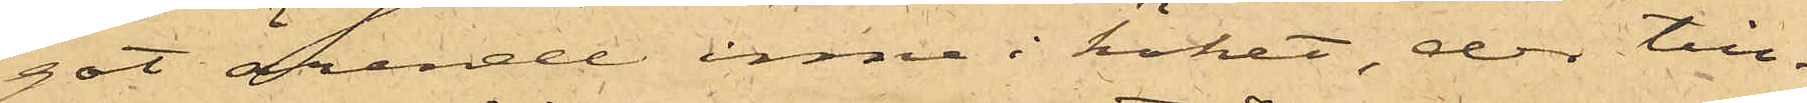got ärende inne i köket, der till¬
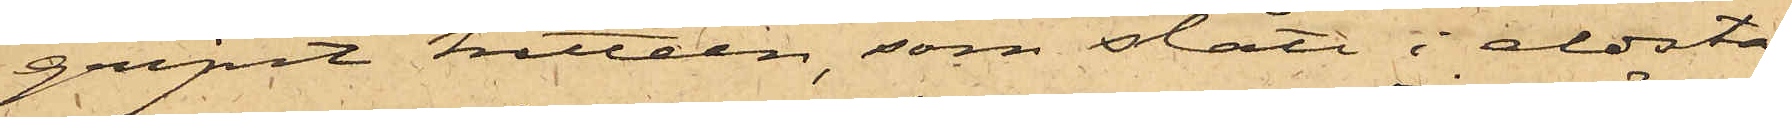gripit kitteln, som stått i eldsta¬
